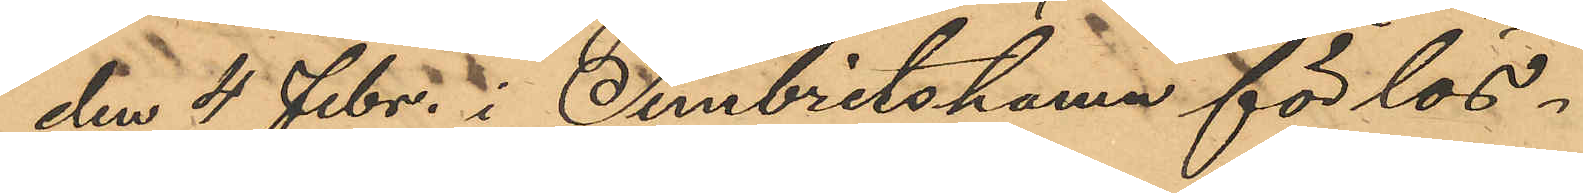den 4 Febr. i Simbritshamn för lös¬       
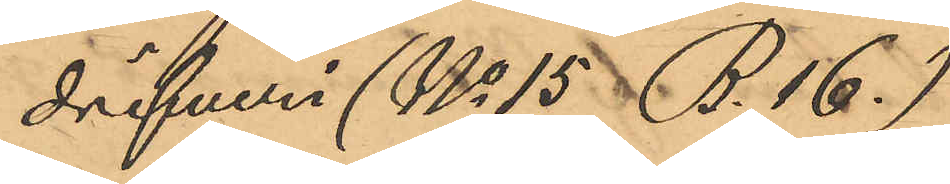drifveri (No 15 B. 16.)
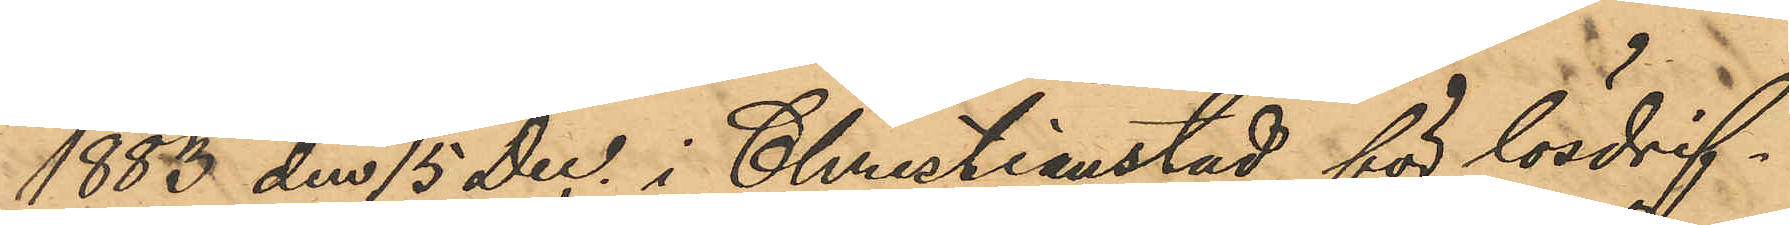1883 den 15 Dec. i Christianstad för lösdrif¬
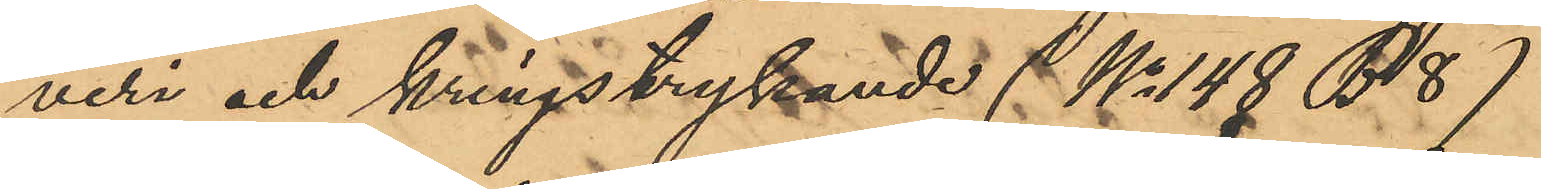veri och kringstrykande (No 148 B. 8)
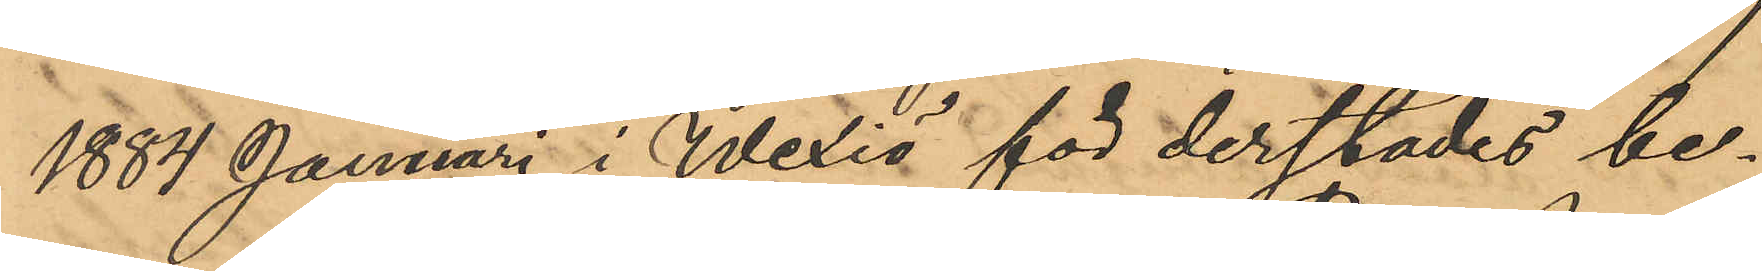1884 Januari i Wexiö för derstädes be¬
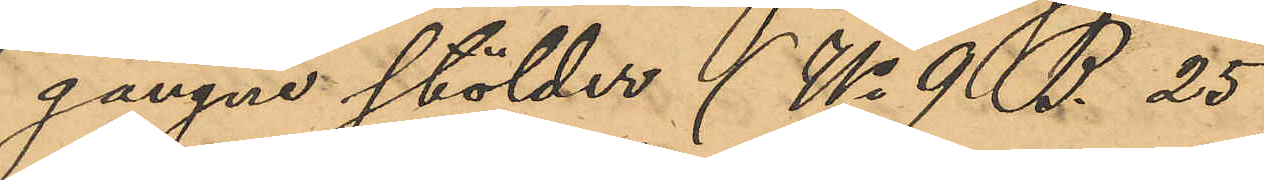gångne stölder (No 9 B. 25)
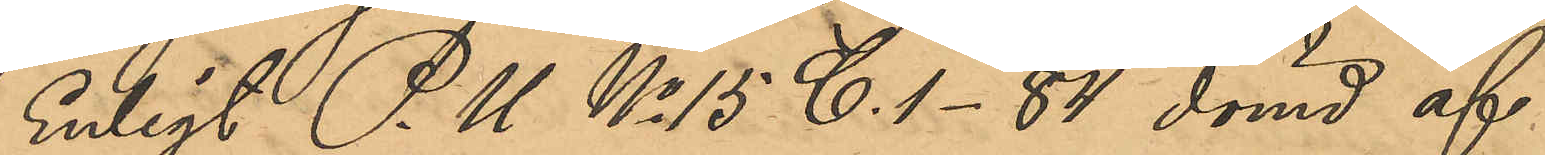Enligt P.U. No 15 C. 1-84 dömd af
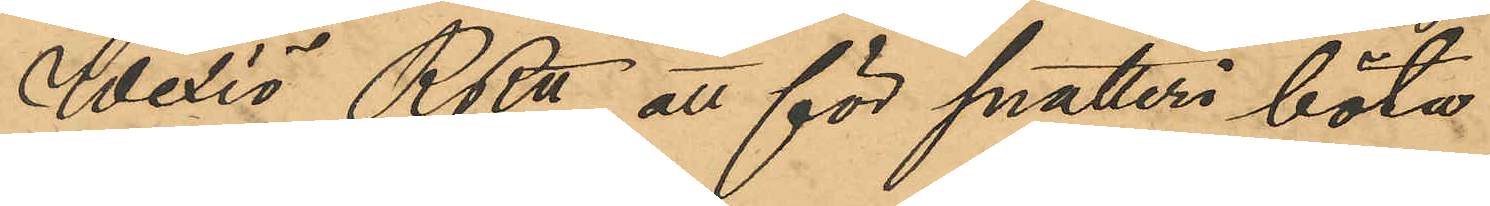Wexiö RRtt, att för snatteri böta
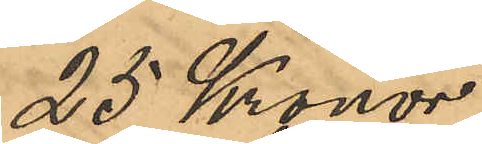25 Kronor,
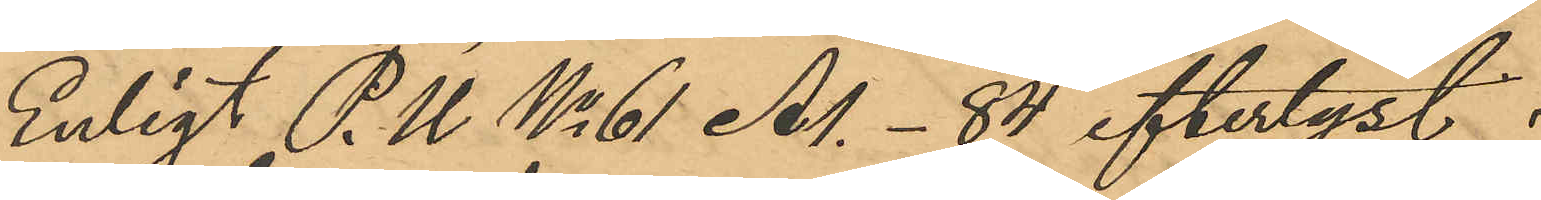Enligt P.U. No 61 Al.-84 eftertyst  
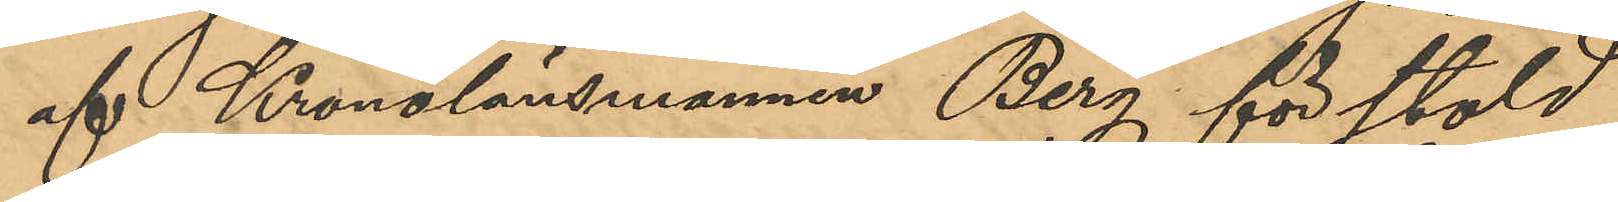af Kronolänsmannen Berg för stöld
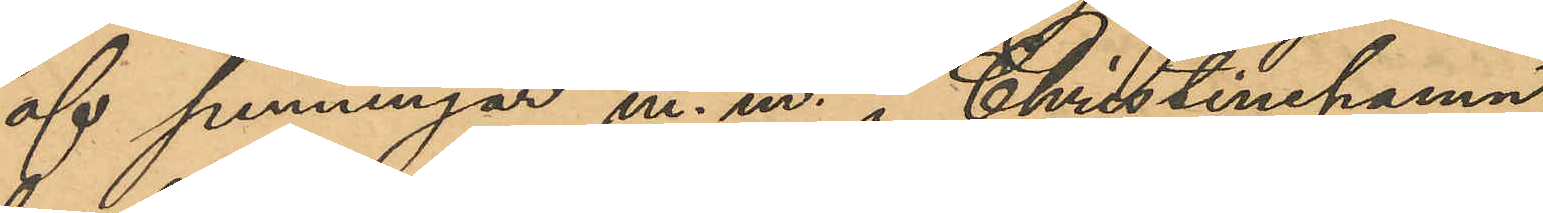af penningar m. m. i Christinehamn,
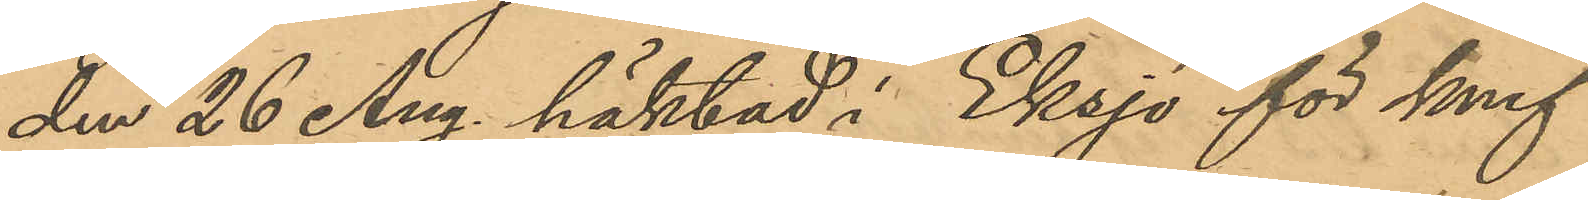den 26 Aug. häktad i Eksjö för knif¬
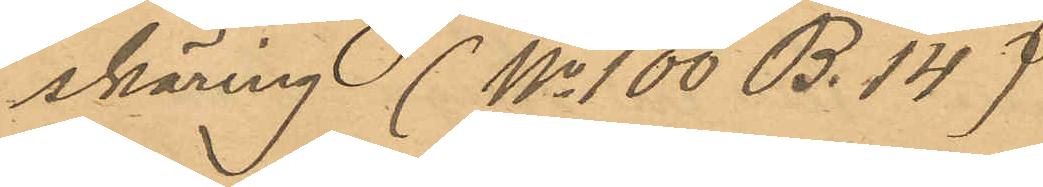skäring (No 100 B. 14)
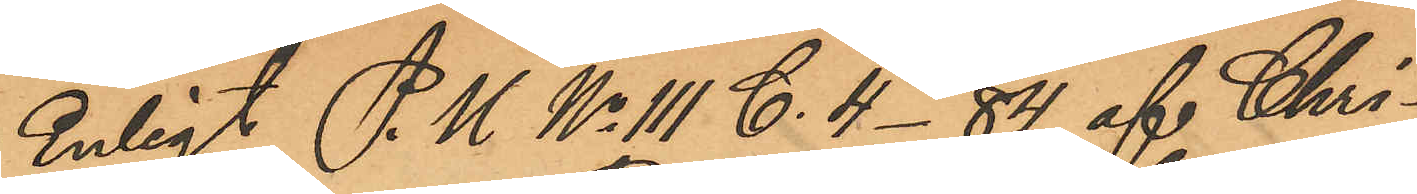Enligt P. U No 111 C. 4-84 af Chri¬
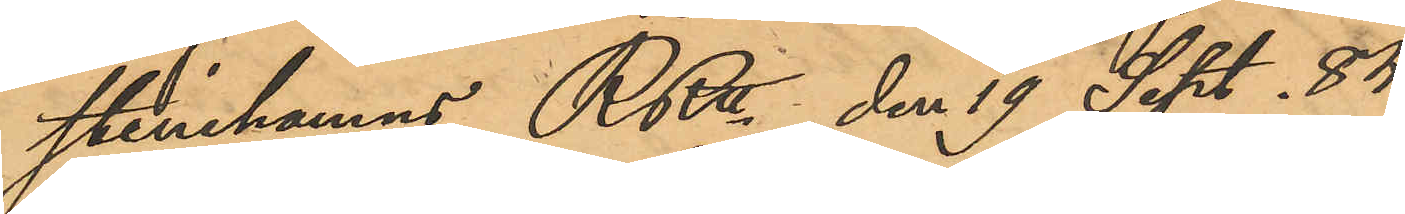stinehamns RRtt den 19 Sept. 84
